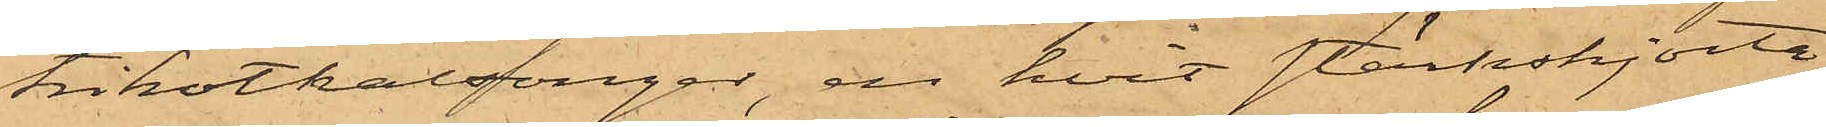trikotkalsonger, en hvit stärkskjorta
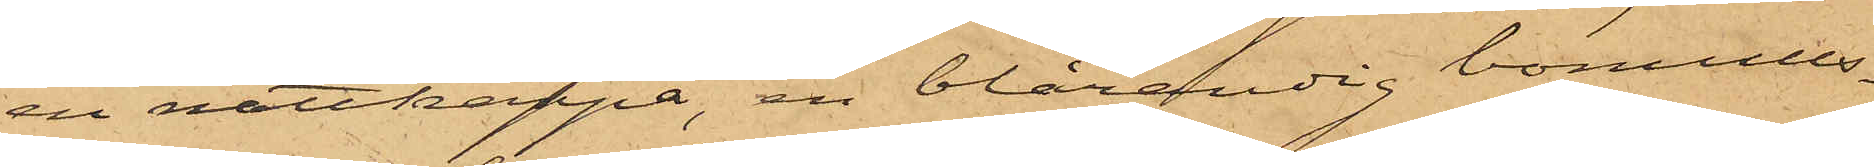en nattkappa, en blårandig bomulls¬
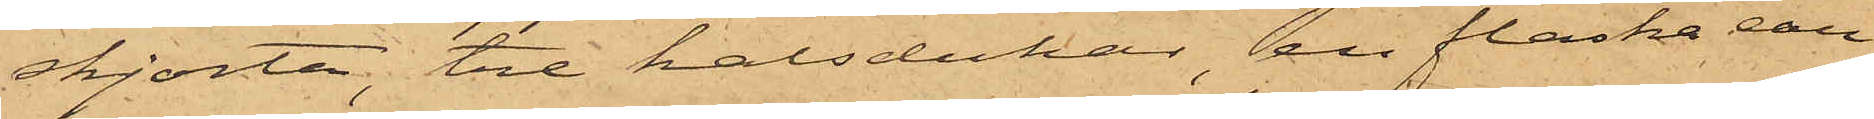skjorta, tre halsdukar, en flaska eau
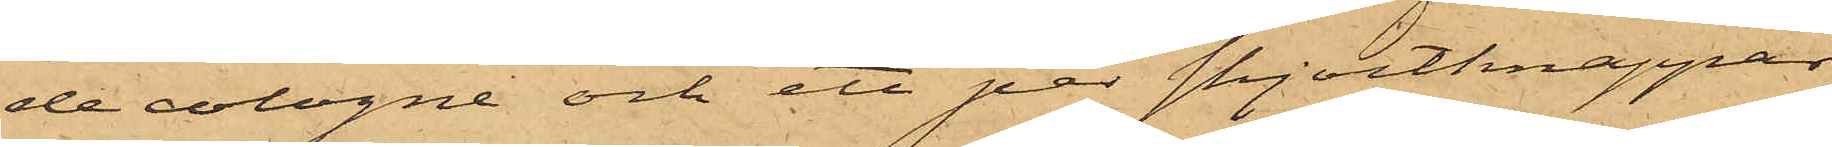de cologne och ett par skjortknappar,
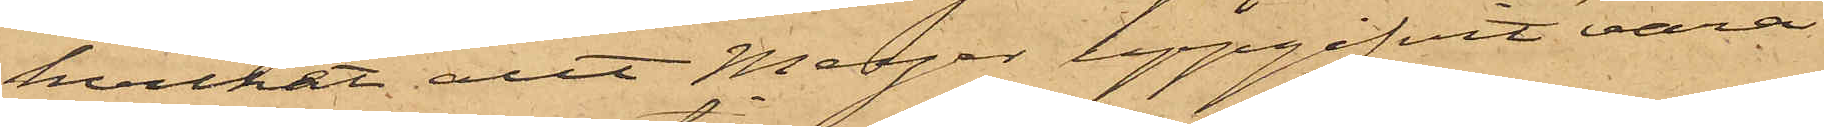hvilket allt Meyer uppgifvit vara
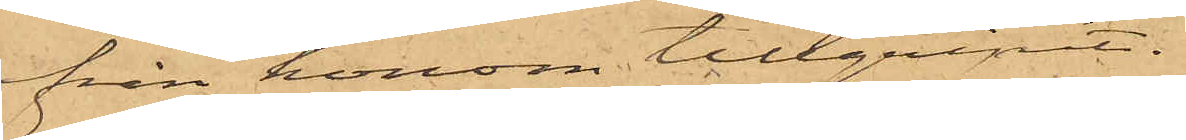från honom tillgripit.
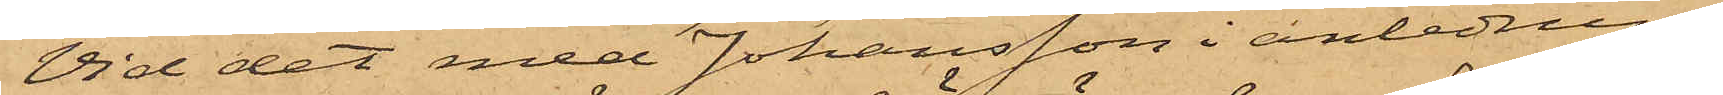Vid det med Johansson i anledning
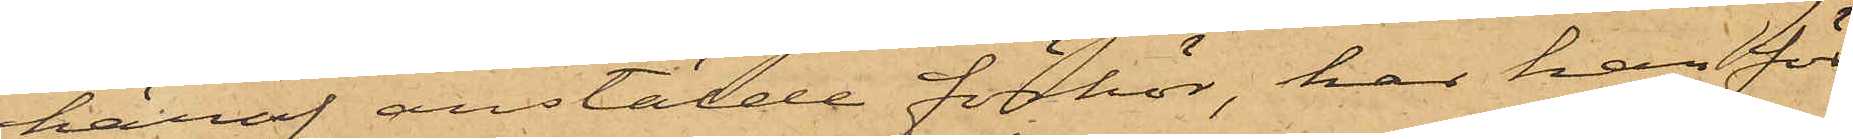häraf anstälde förhör, har han för¬
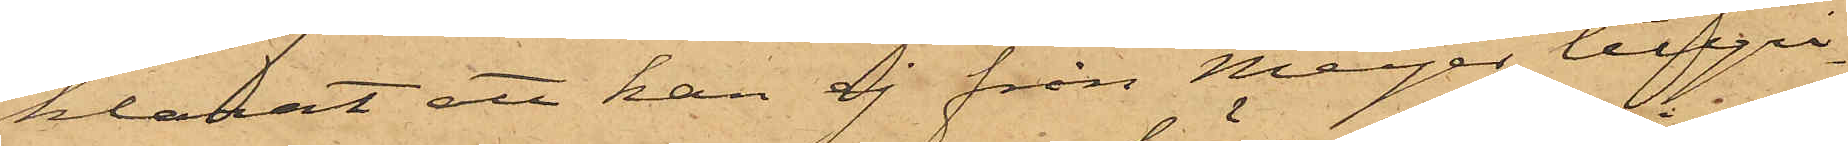klarat att han ej från Meyer tillgri¬
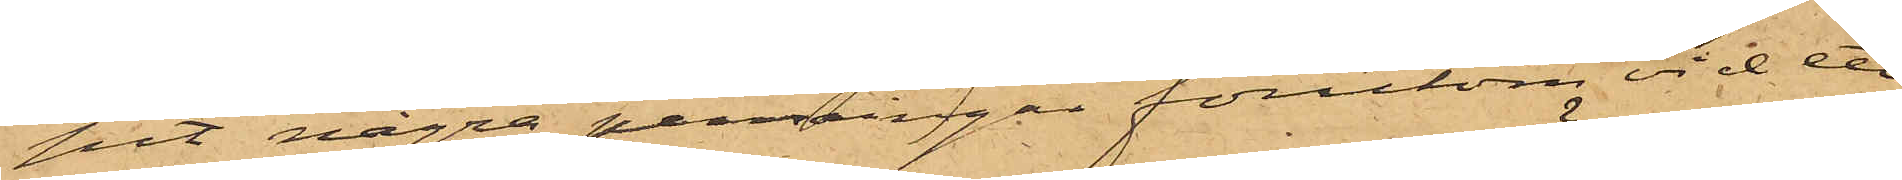pit några penningar förutom vid ett
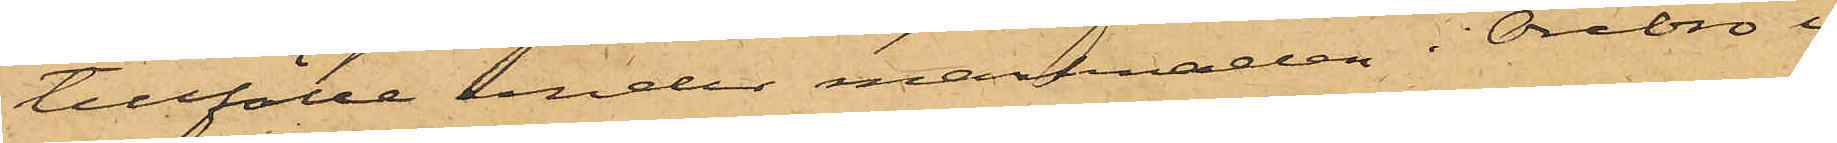tillfälle under marknaden i Örebro i
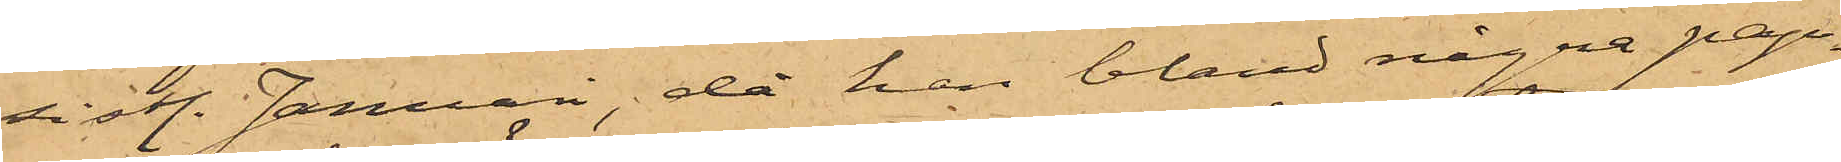sistl. Januari, då han bland några pap¬
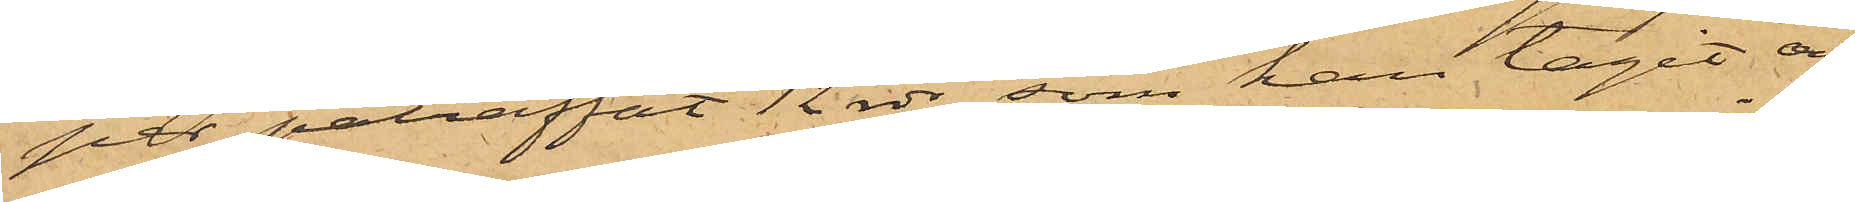per påträffat 12 rdr, som han tagit och
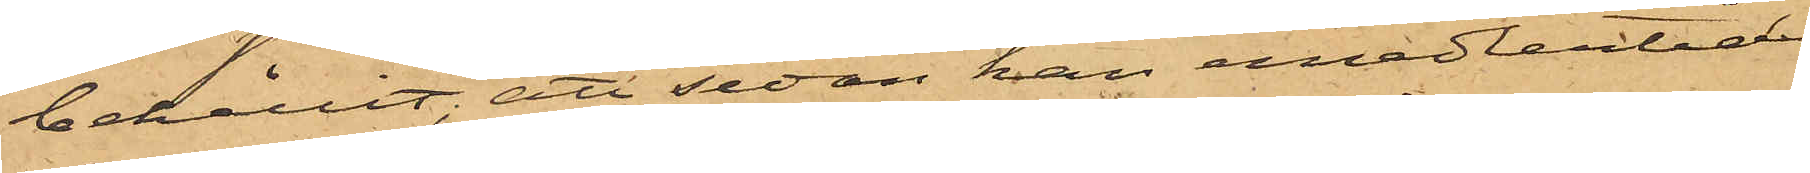behållit; att sedan han emedlertid
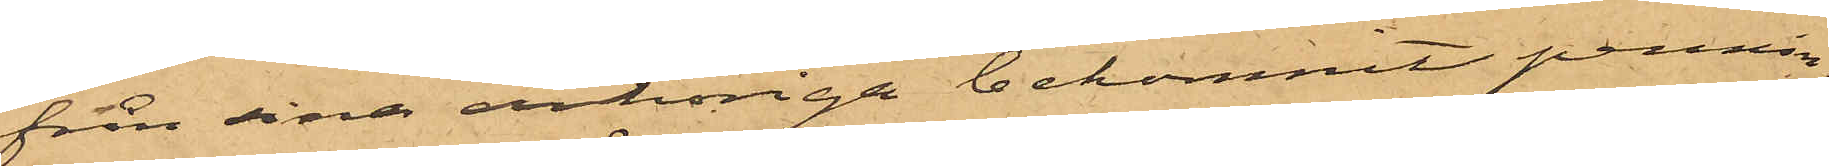från sina anhöriga bekommit pennin¬
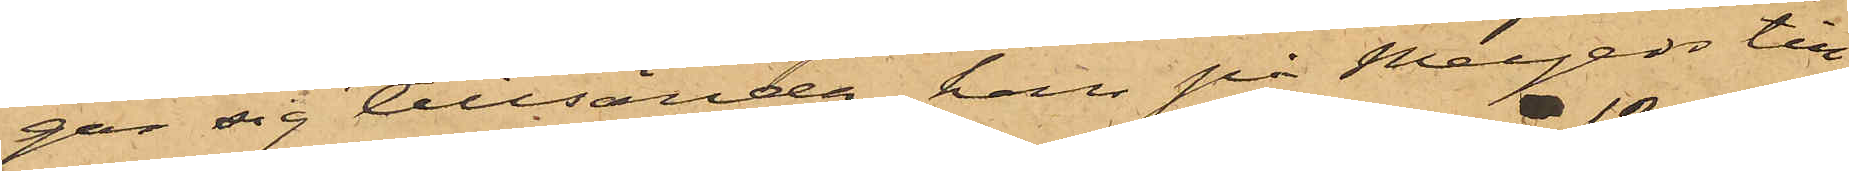gar sig tillsända, han på Meyers till¬
